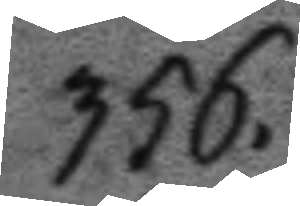356.
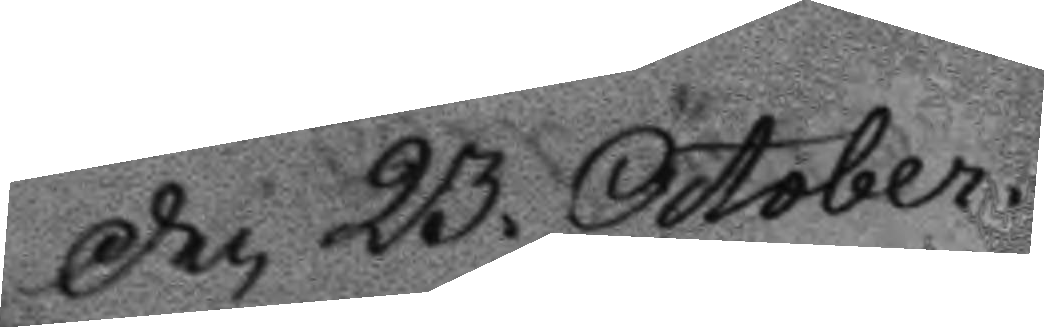Den 23. October.
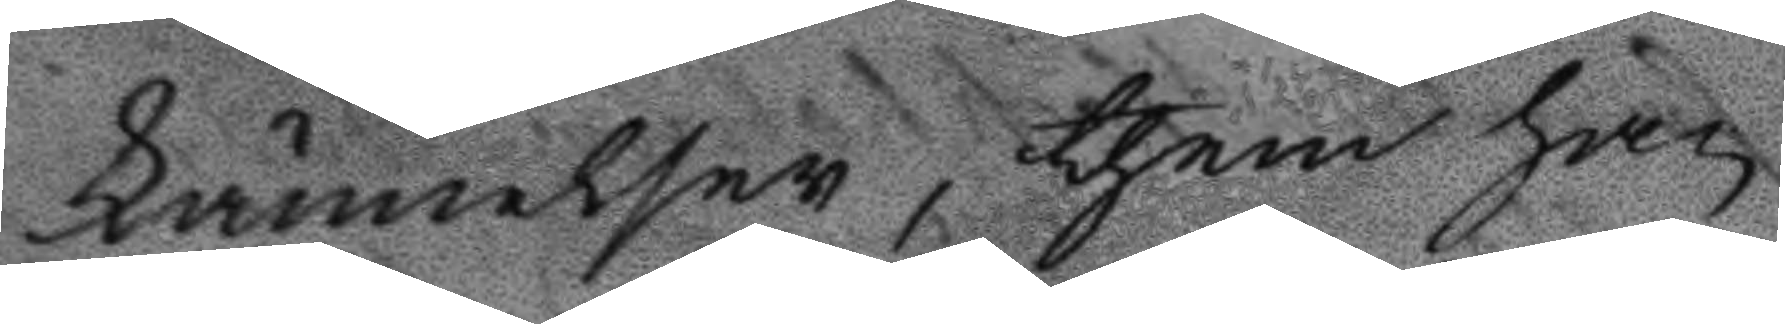kännelsen, then han
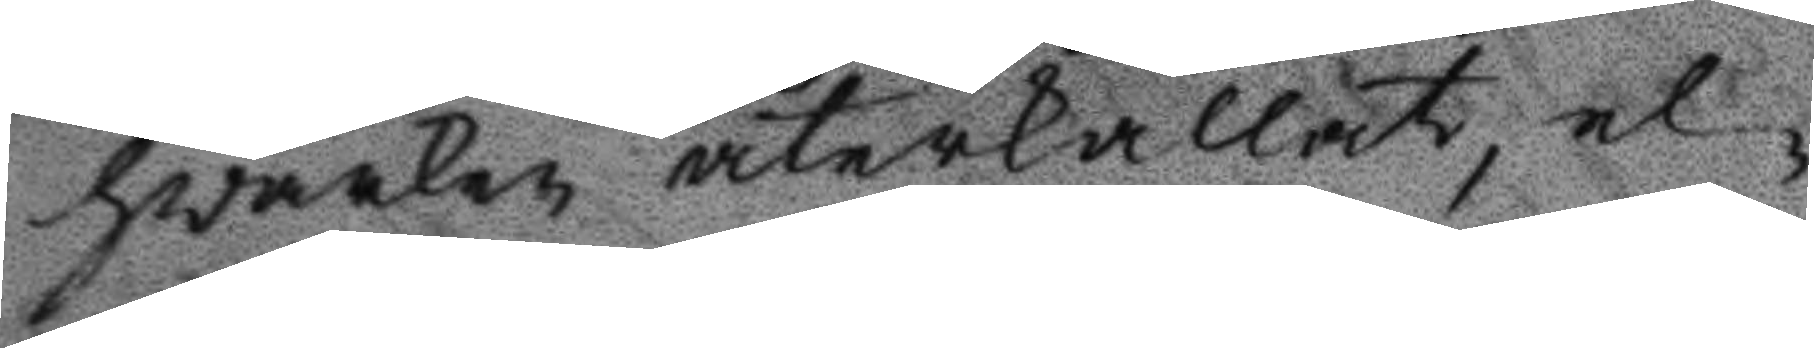hvarken återkallat, el¬
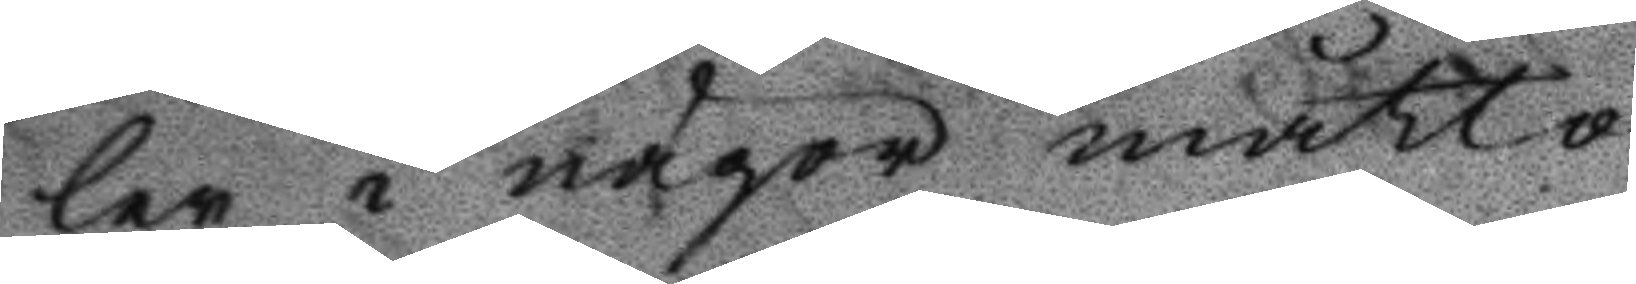ler i någon måtto
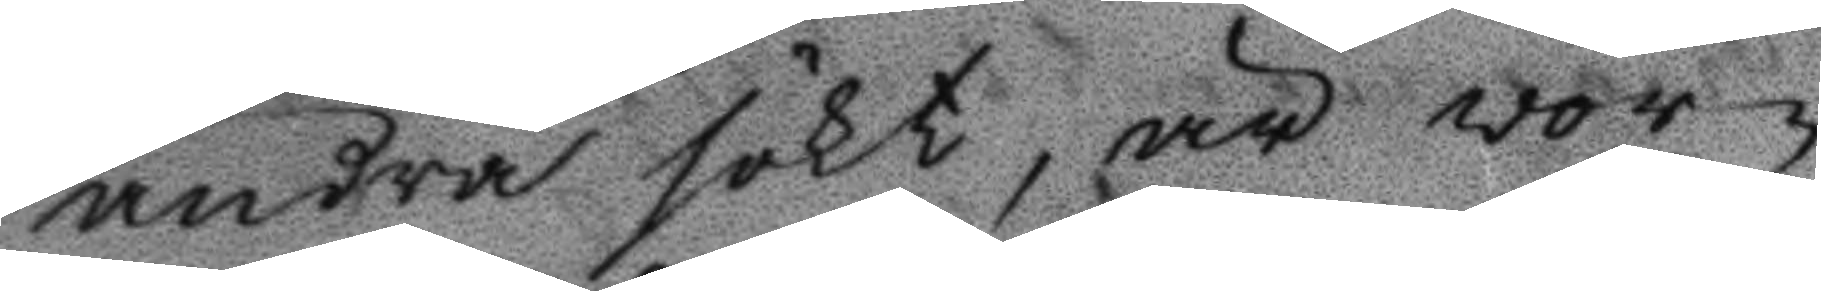ändra sökt, är vor¬
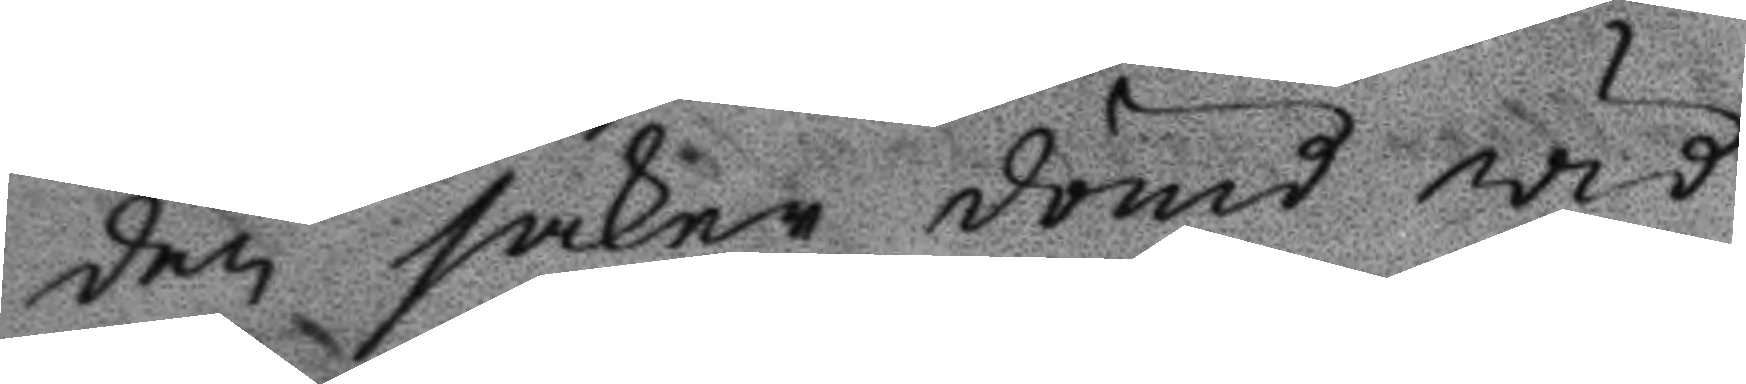den sakne dömd wid
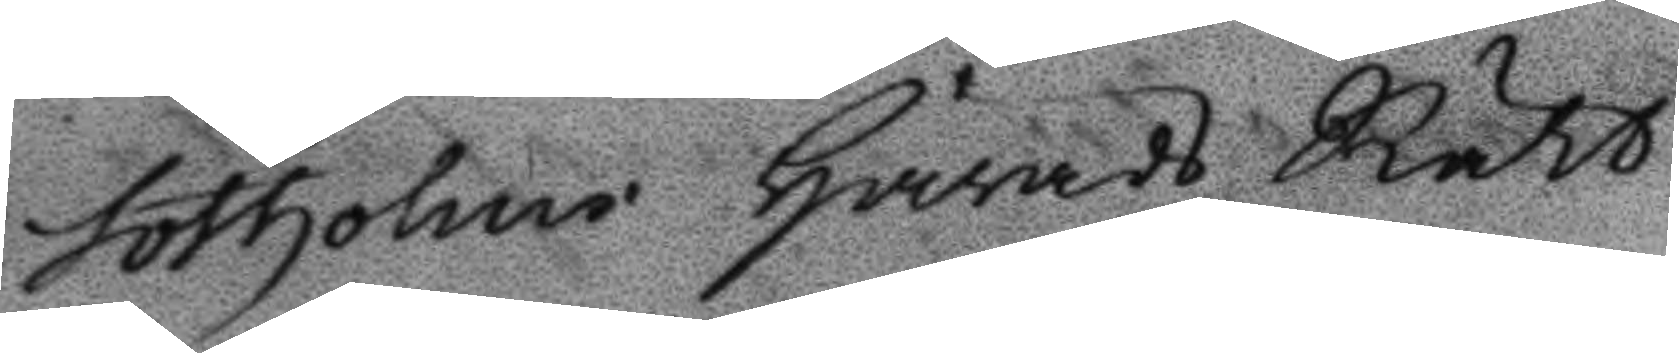Sotholms Härads Rätt
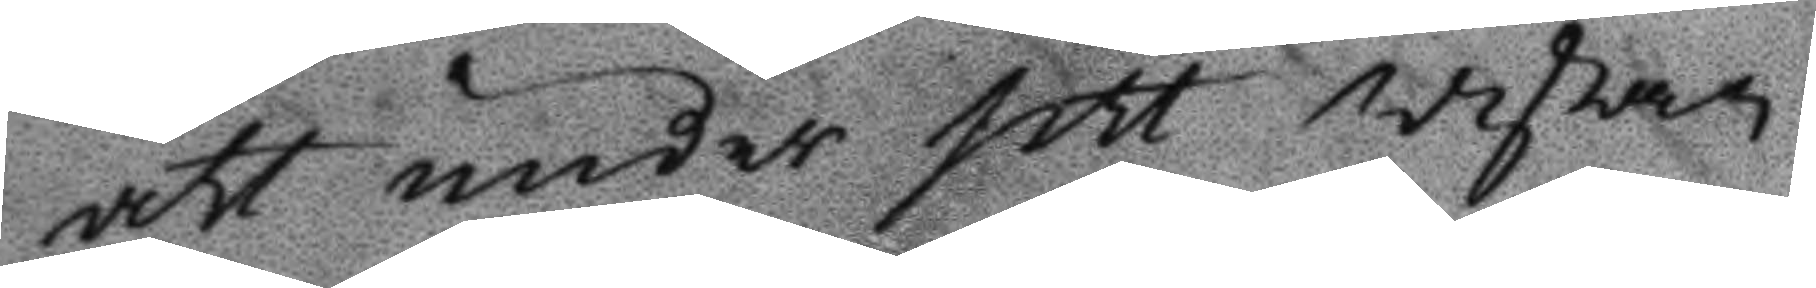att under sitt wistan¬
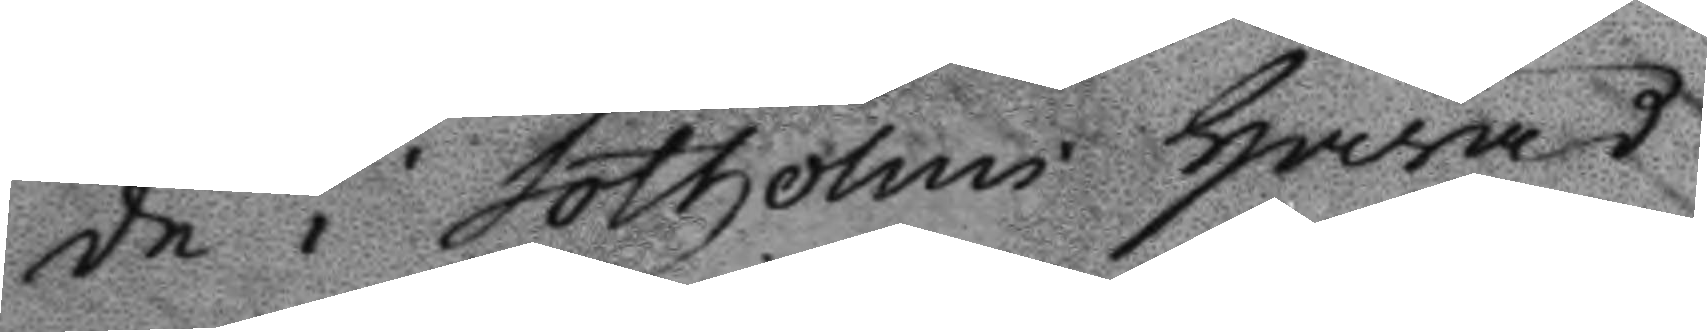de i Sotholms Härad
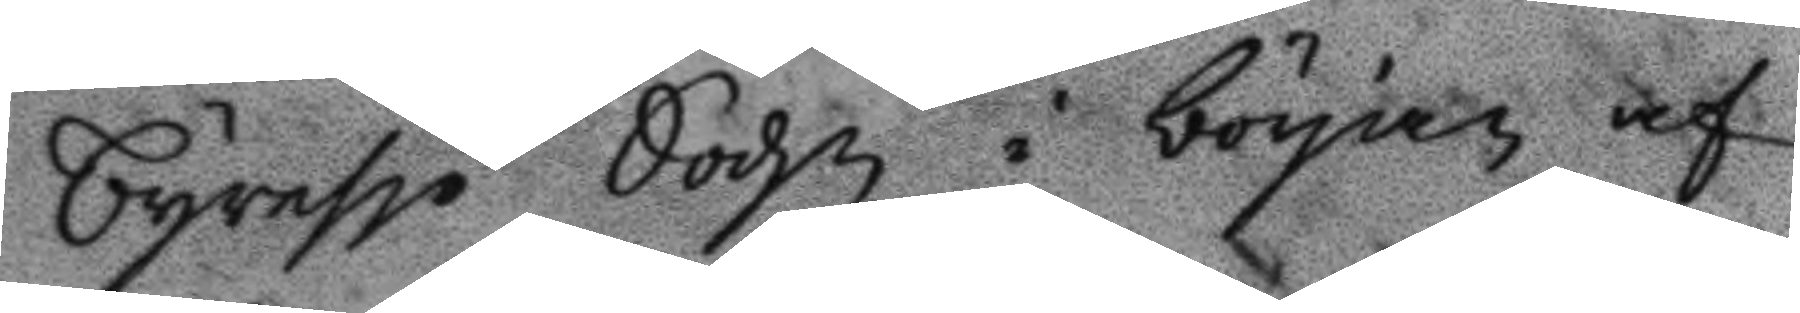Tyresjö Sochn i början af
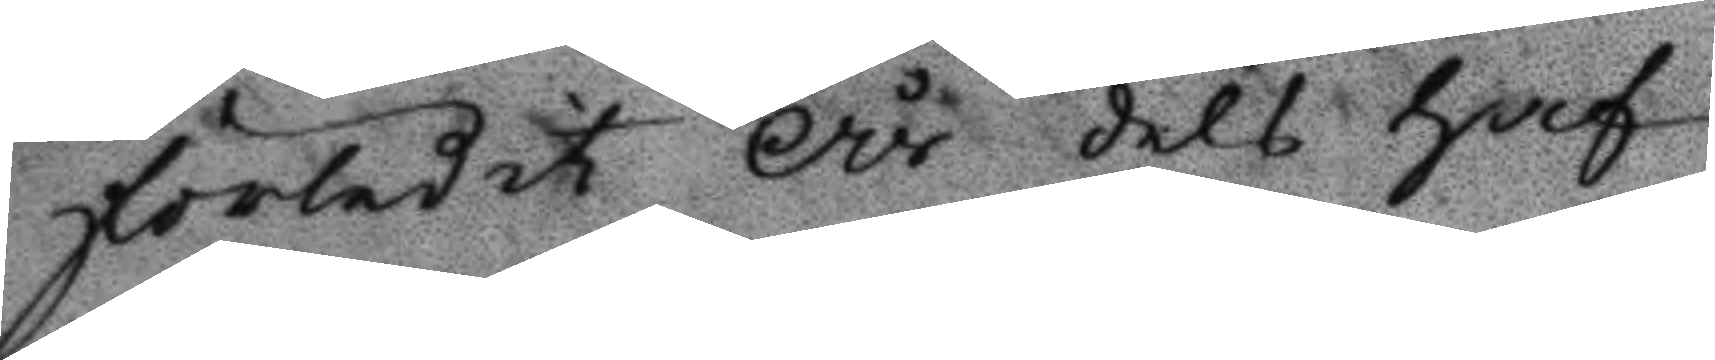förledit År dels haf¬
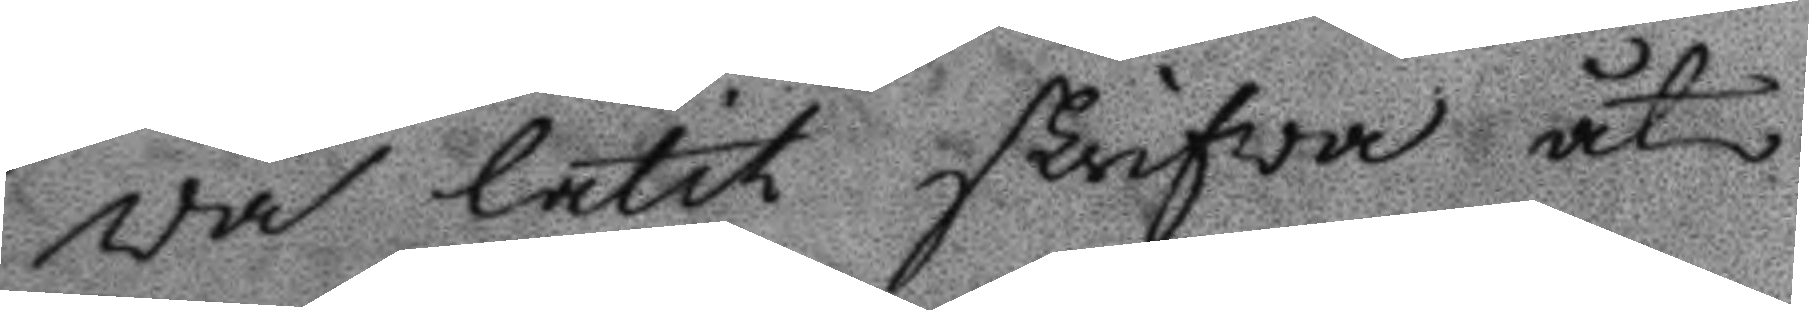va låtit skrifwa åt
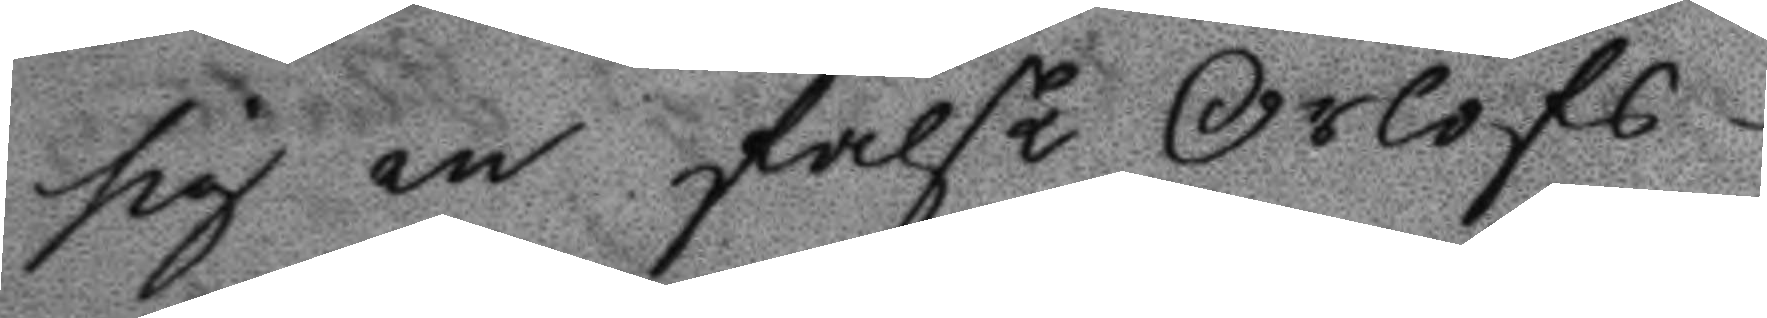sig en falsk Orlofs¬
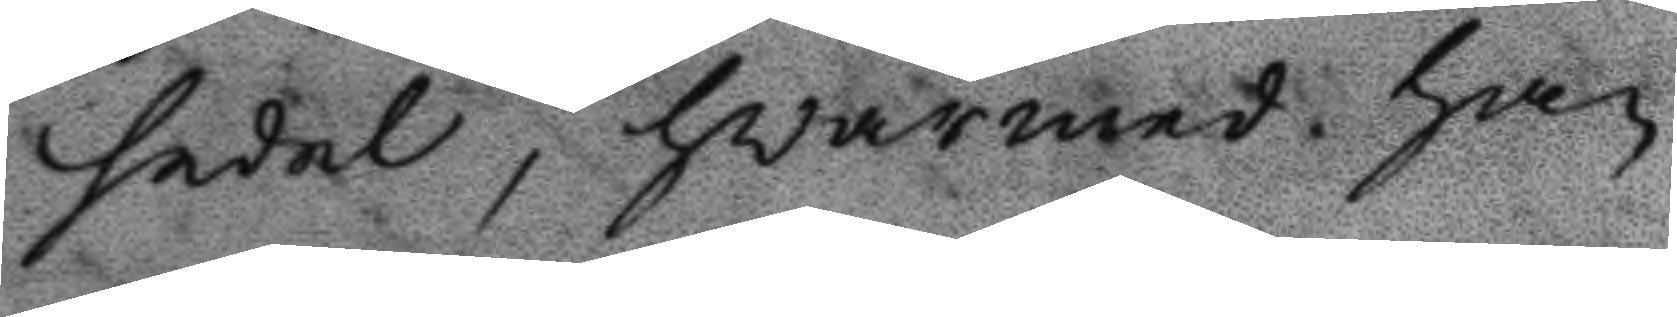sedel, hwarmed han
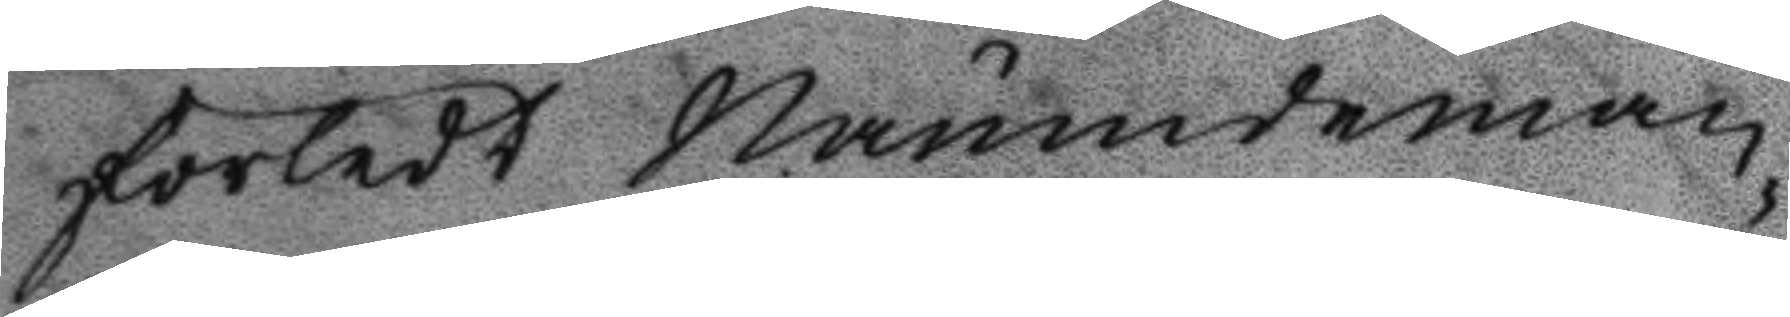förledt Nämndeman¬
